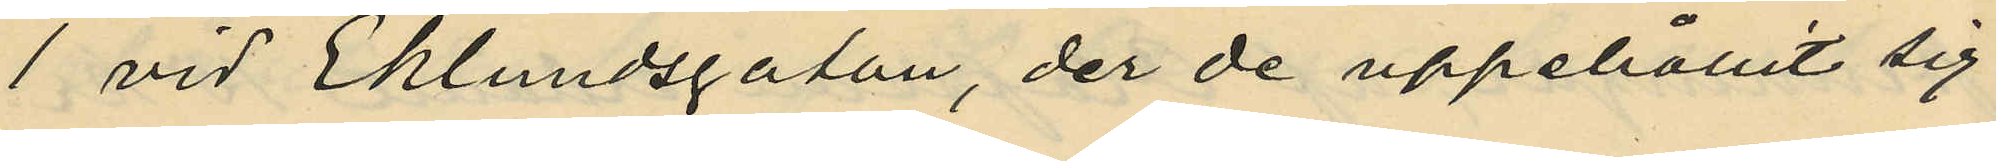1 vid Eklundsgatan, der de uppehållit sig
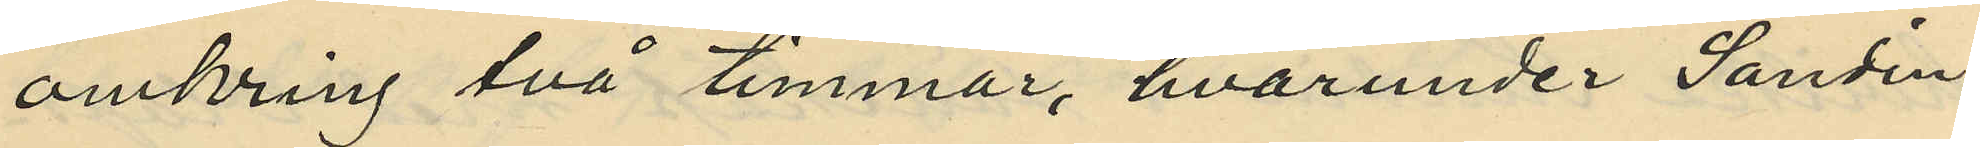omkring två timmar, hvarunder Sandin
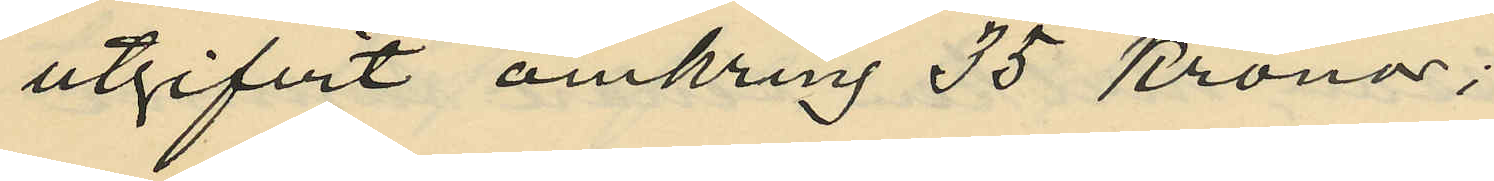utgifvit omkring 35 kronor;
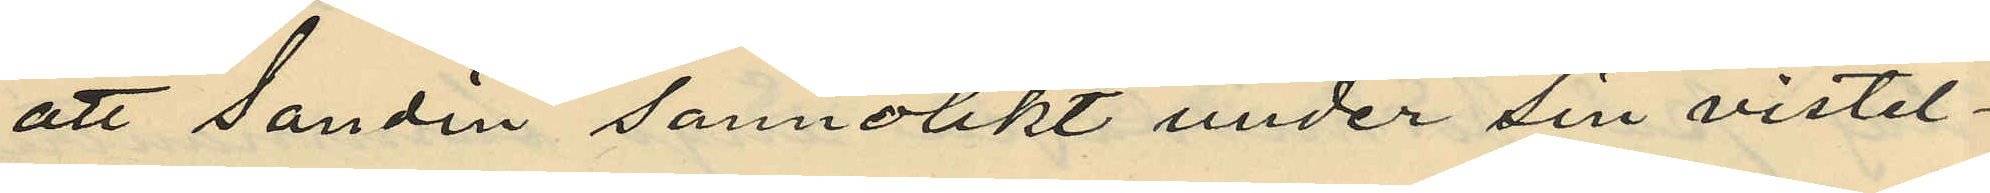att Sandin sannolikt under sin vistel¬
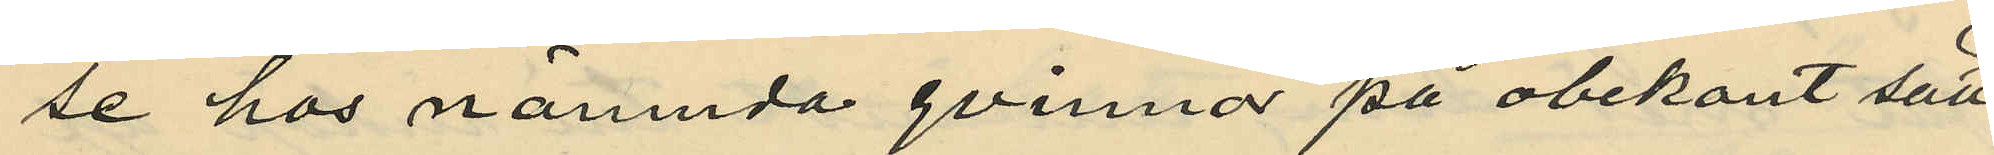se hos nämnda qvinnor på obekant sätt
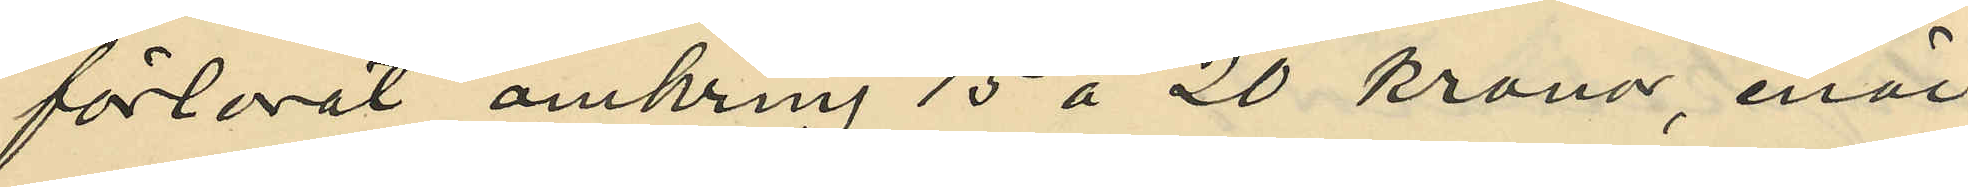förlorat omkring 15 à 20 kronor, enär
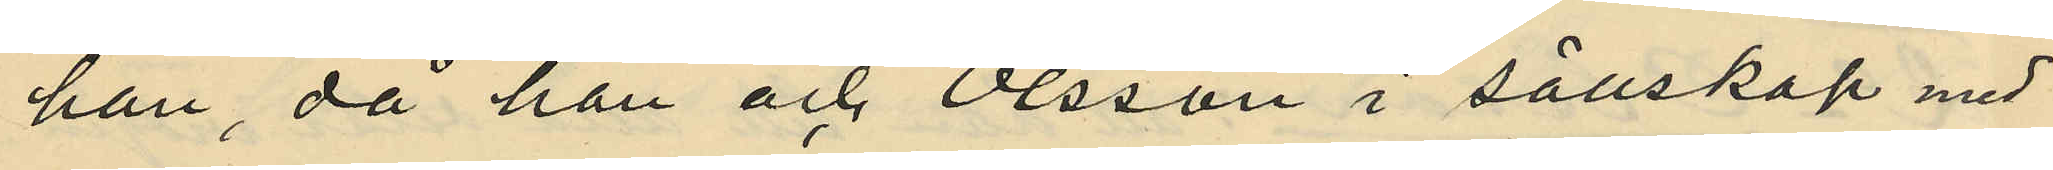han, då han och Olsson i sällskap med
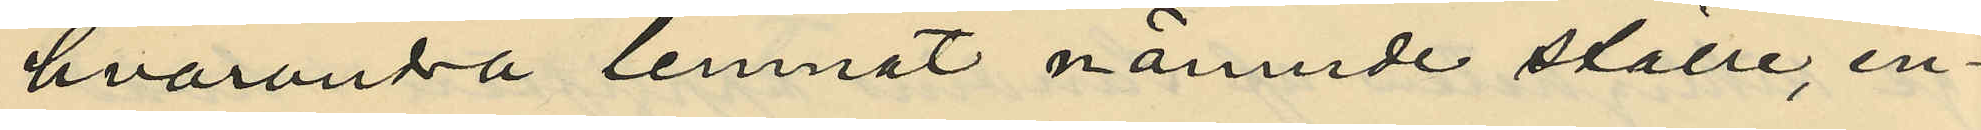hvaradra lemnat nämnde ställe, en¬
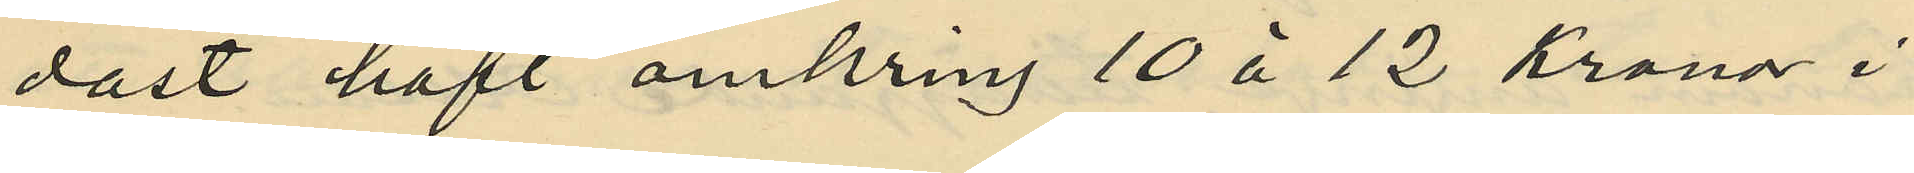dast haft omkring 10 à 12 kronor i
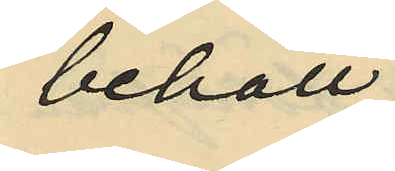behåll;
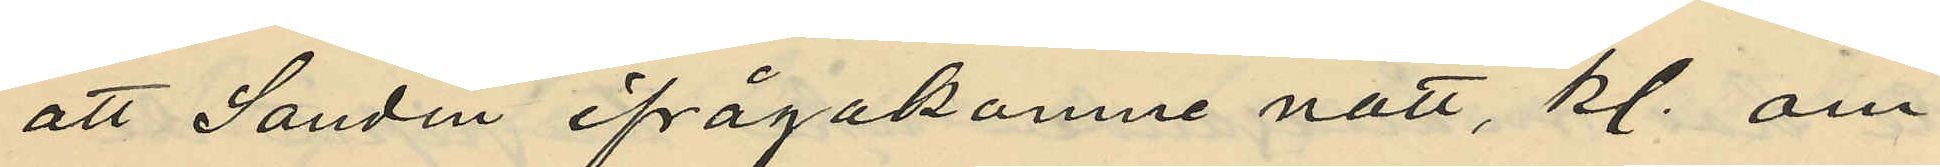att Sandin ifrågakomne natt, kl. om¬
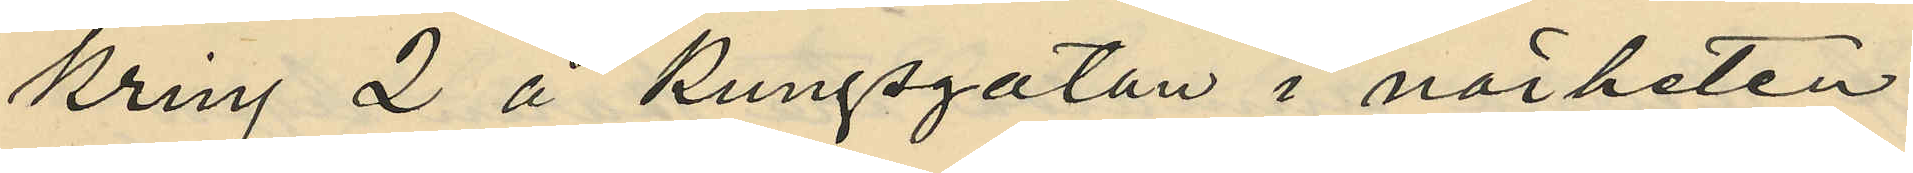kring 2 å Kungsgatan i närheten
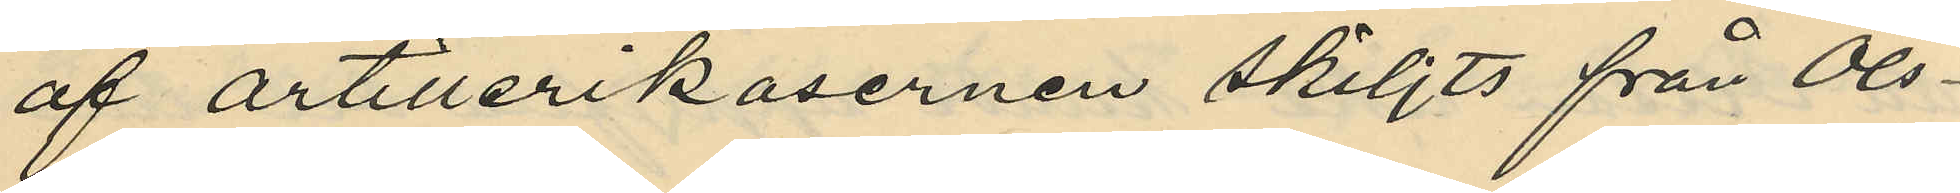af artillerikasernen skiljts från Ols¬
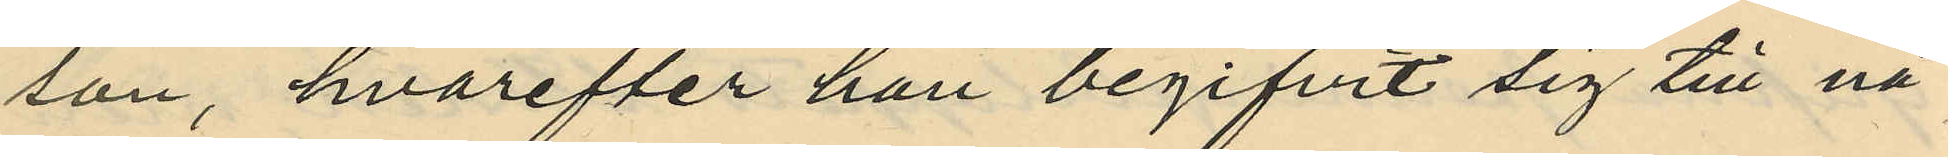son, hvarefter han begifvit sig till nå¬
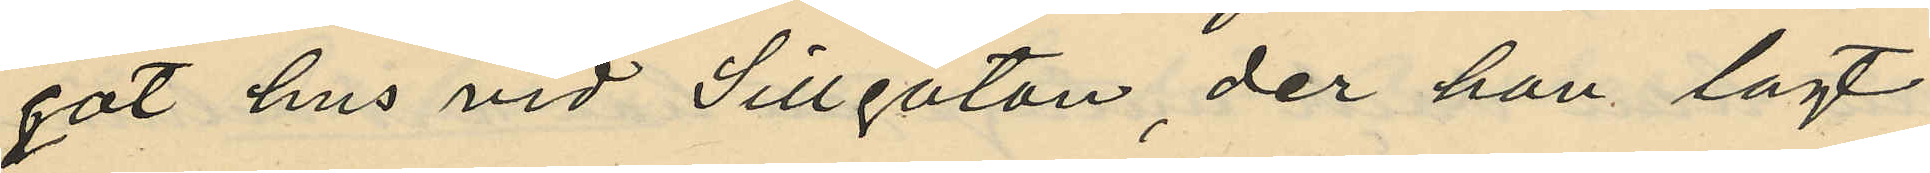got hus vid Sillgatan, der han lagt
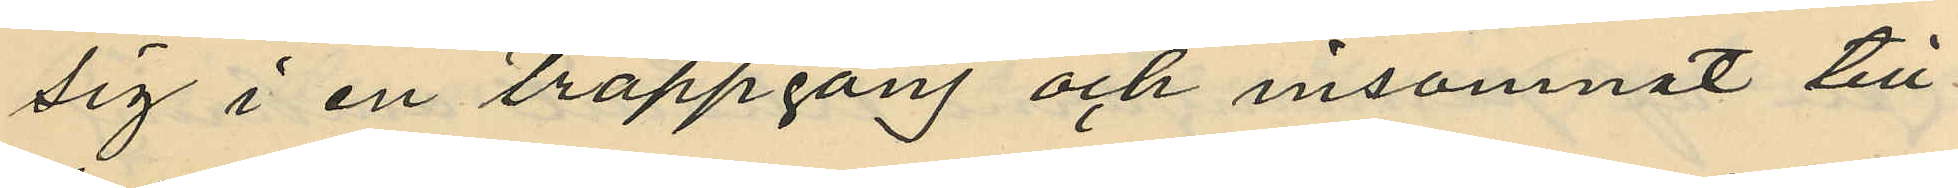sig i en trappgång och insomnat till
